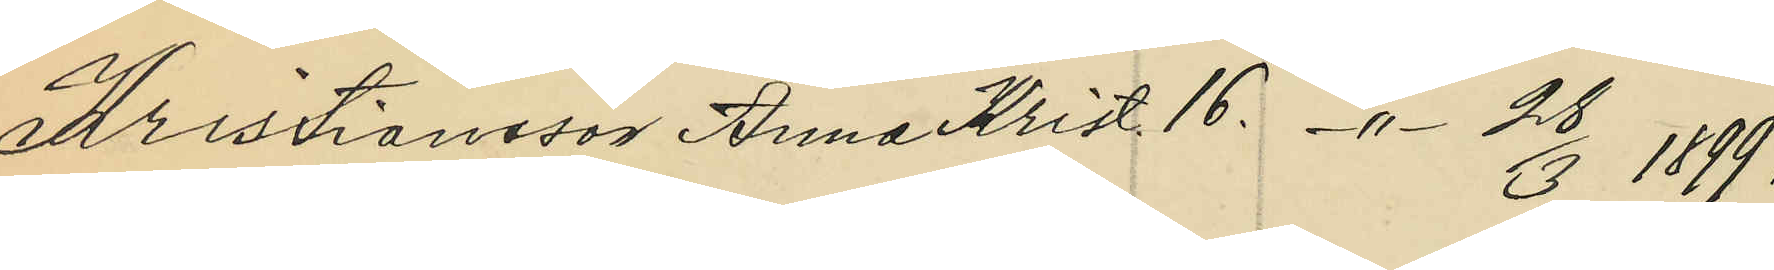Kristiansson Anna Krist 16. -"- 28/3 1899;
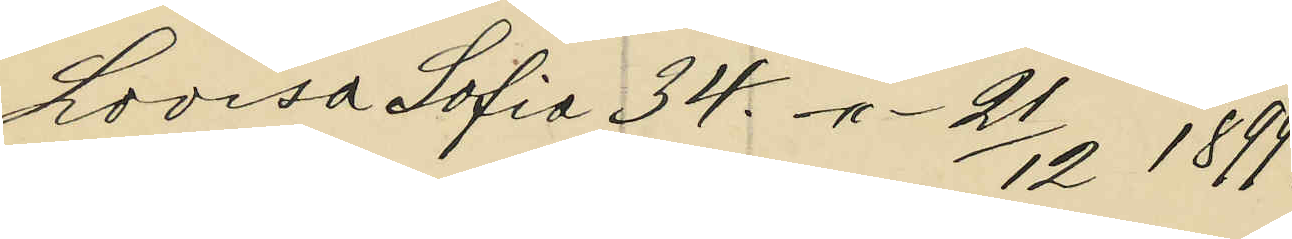Lovisa Sofia 34. -"- 21/12 1899;
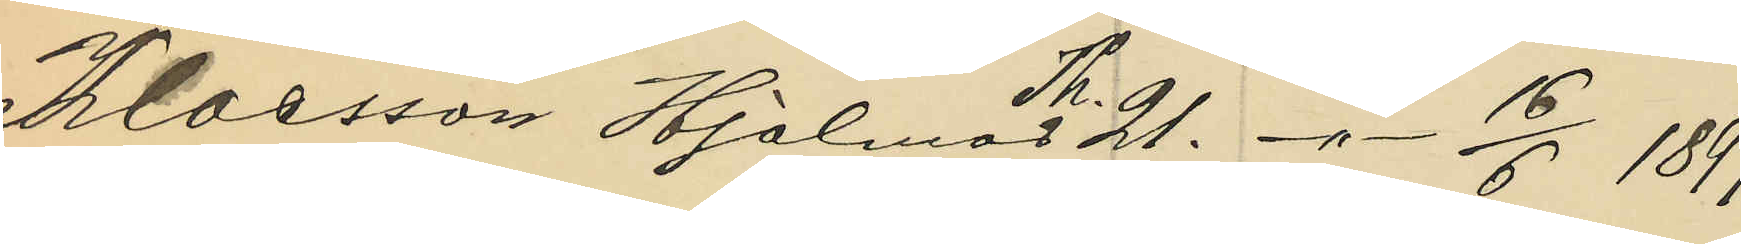Klaesson Hjalmar Th. 21. -"- 16/6 1899;
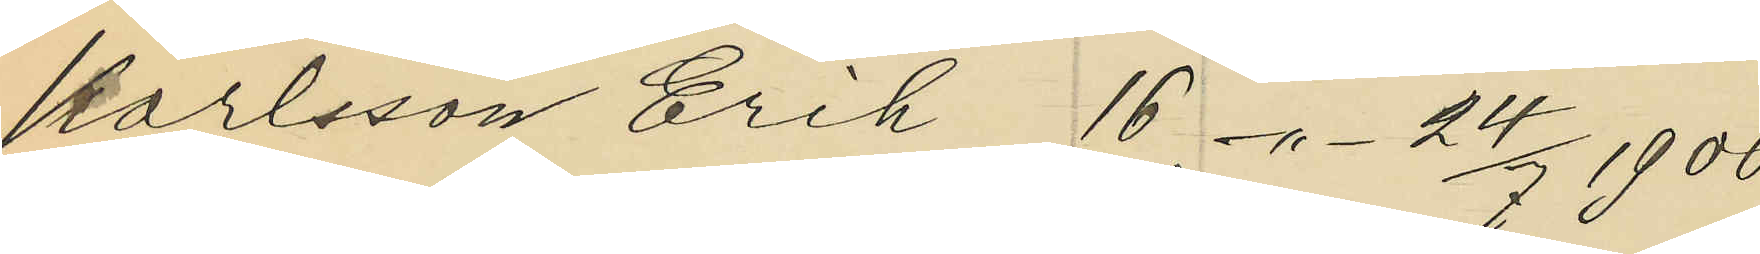Karlsson Erik 16. -"- 24/7 1900;
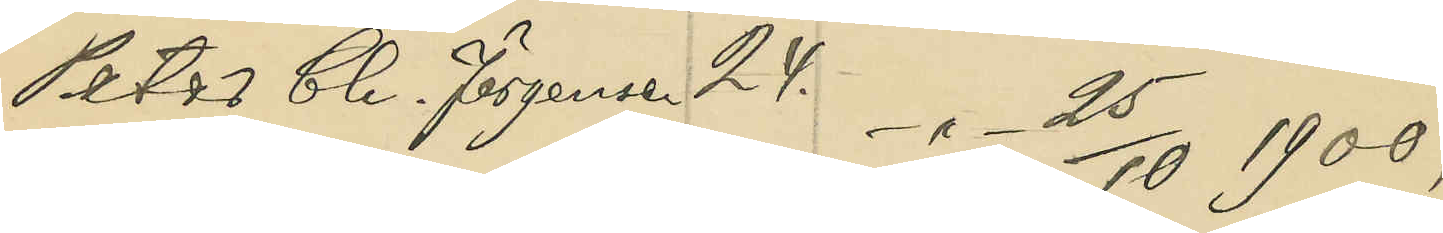Peter Ch. Jörgensen 24. -"- 25/10 1900;
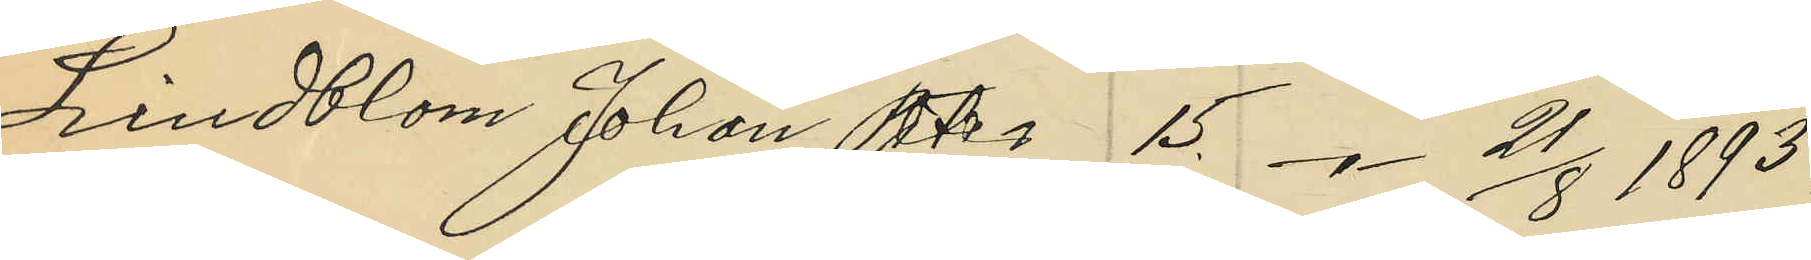Lindblom Johan Peter 15. -"- 21/8 1893;
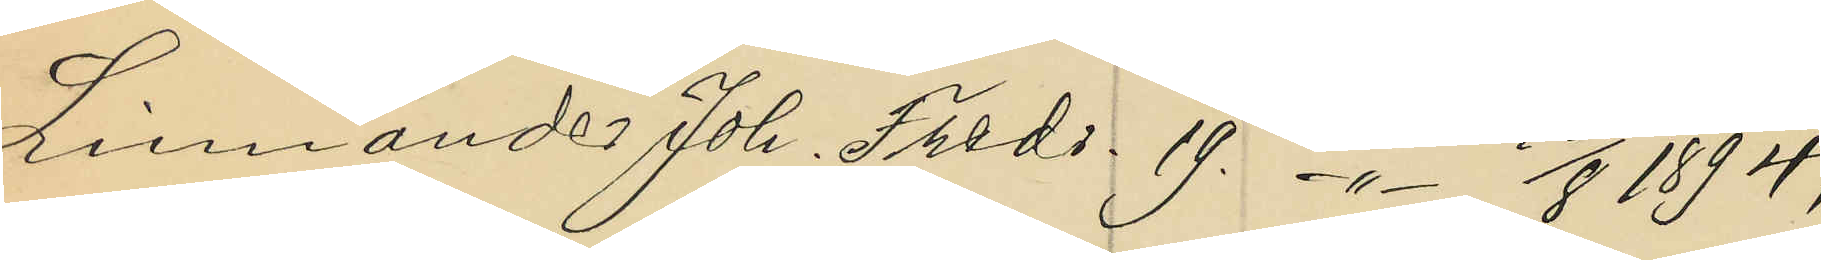Linnander Joh. Fredr. 19. -"- 10/8 1894;
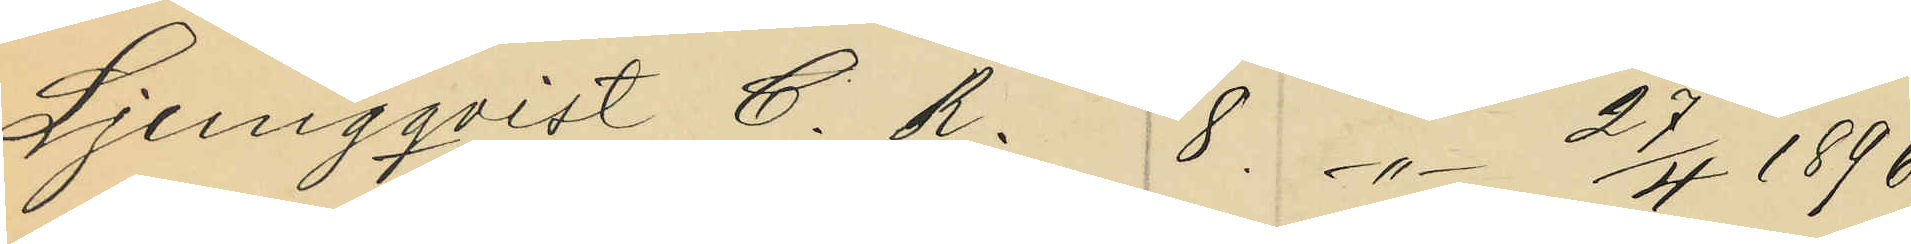Ljungqvist C. R. 8 -"- 27/4 1896;
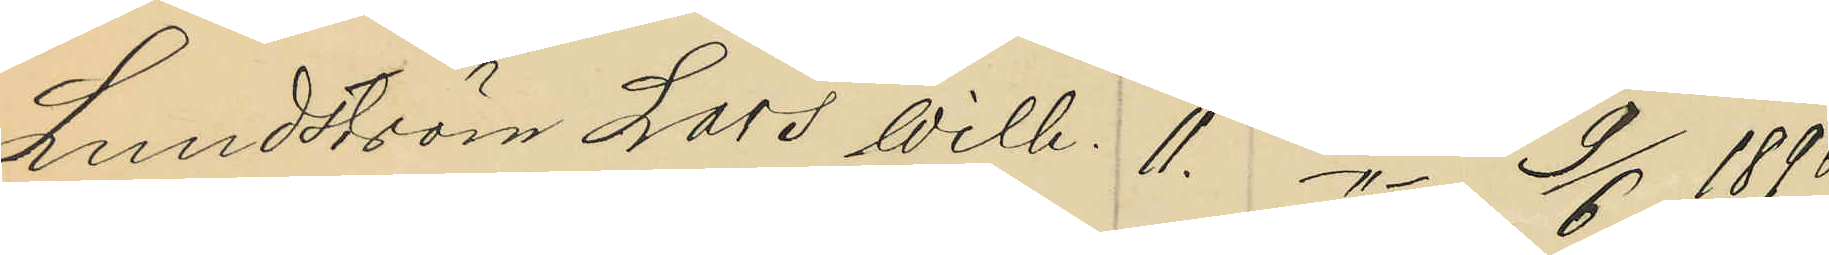Lundström Lars Wilh. 11. -"- 9/6 1896;
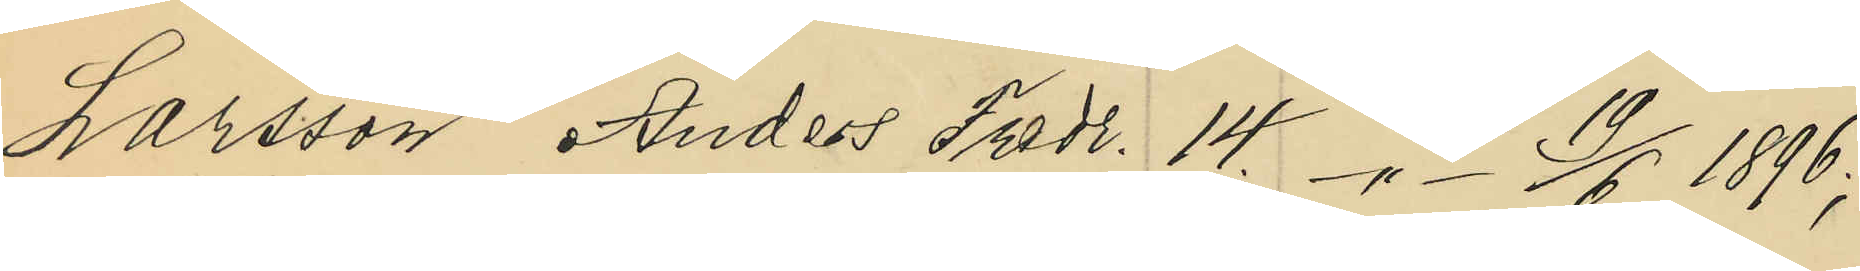Larsson Anders Fredr. 14. -"- 19/6 1896;
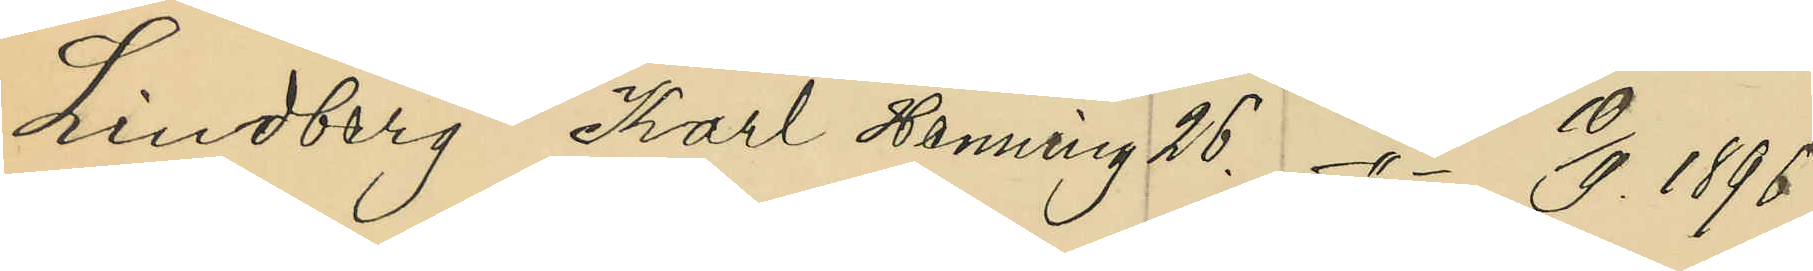Lindberg Karl Henning 26. -"- 10/9 1896;
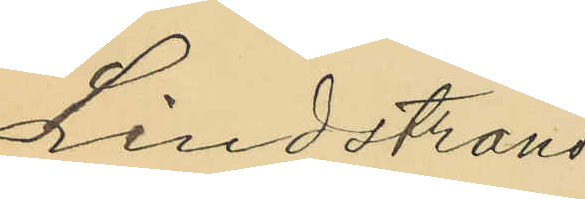Lindstrand
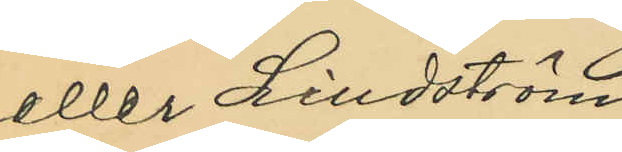eller Lindström
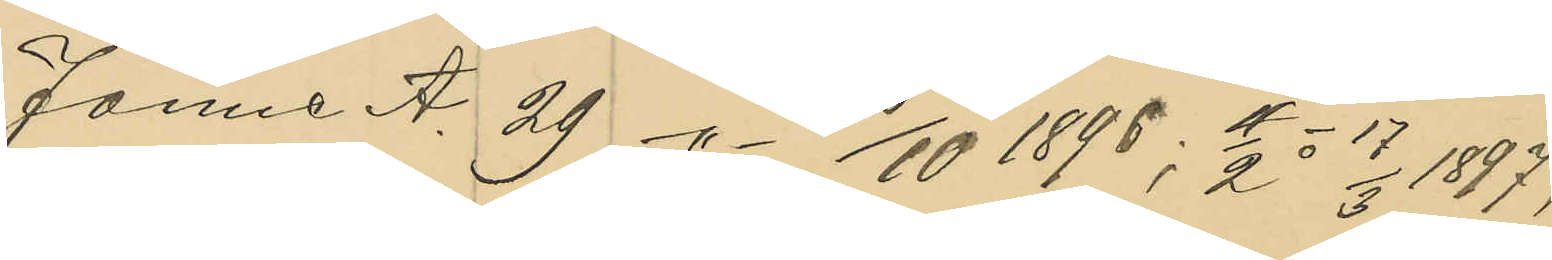Janne A. 29 -"- 8/10 1898; 11/2 o 17/3 1897;
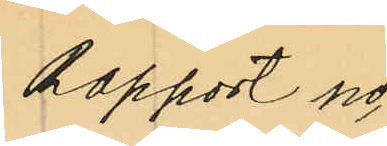Rapport no
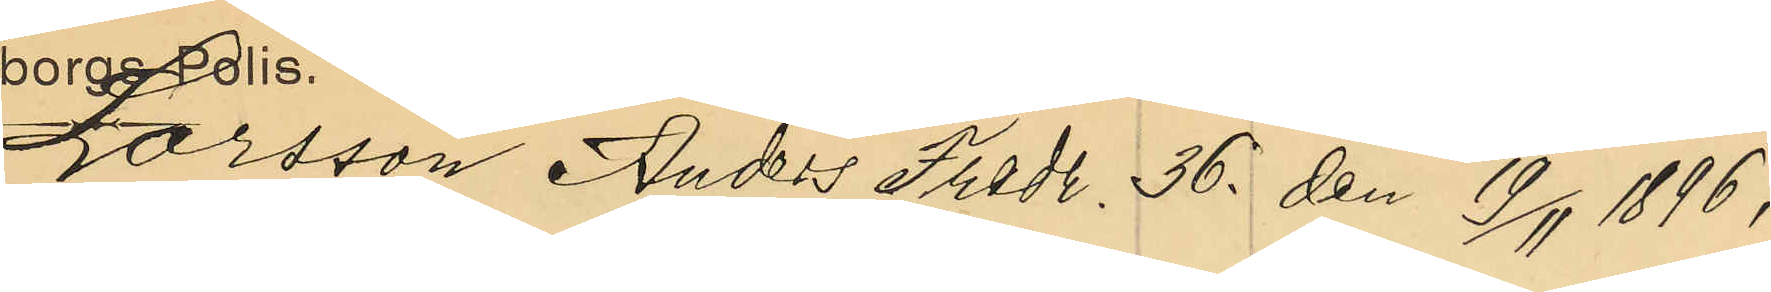Larsson Anders Fredr. 36. den 19/11 1896;
